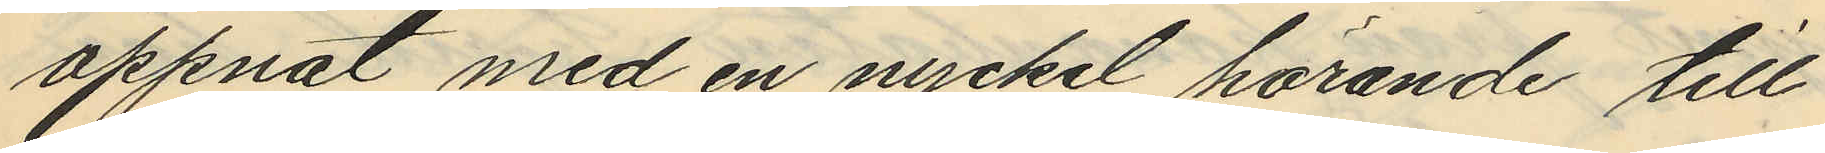öppnat med en nyckel hörande till
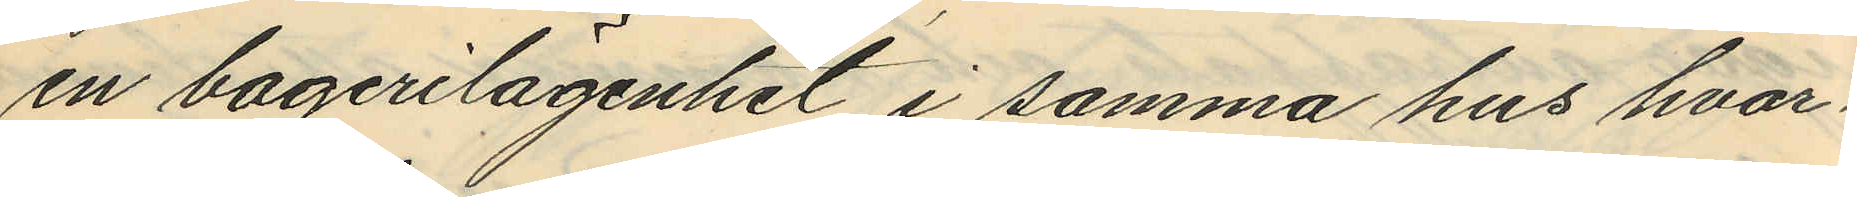en bagerilägenhet i samma hus hvar¬
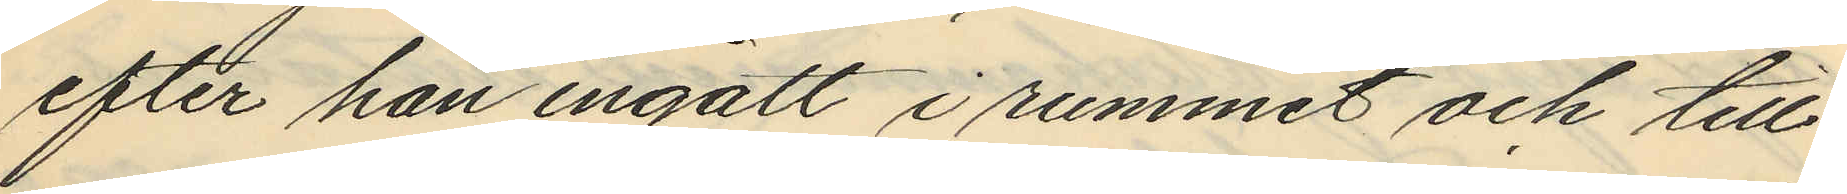efter han ingått i rummet och till¬
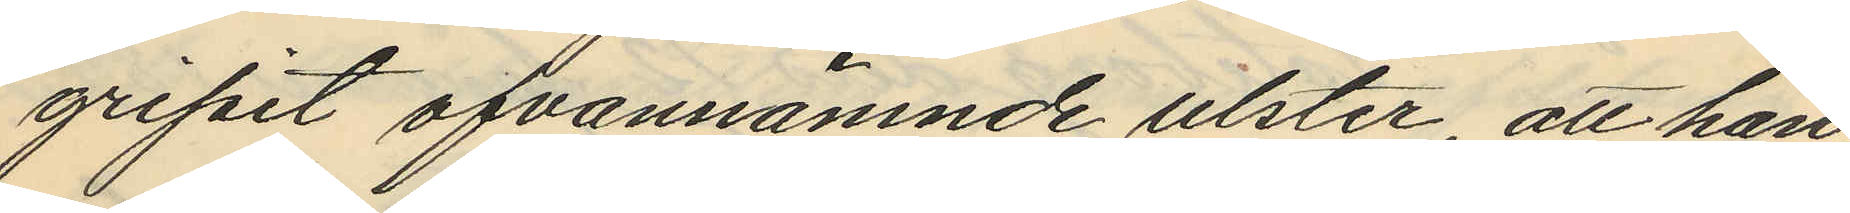gripit ofvannämnde ulster, att han
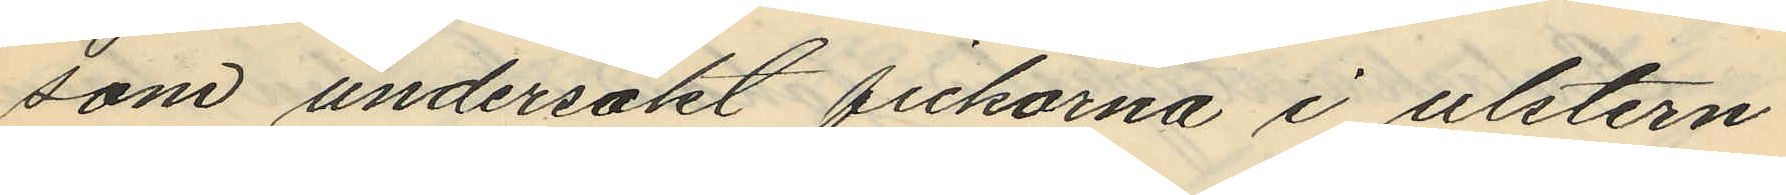som undersökt fickorna i ulstern
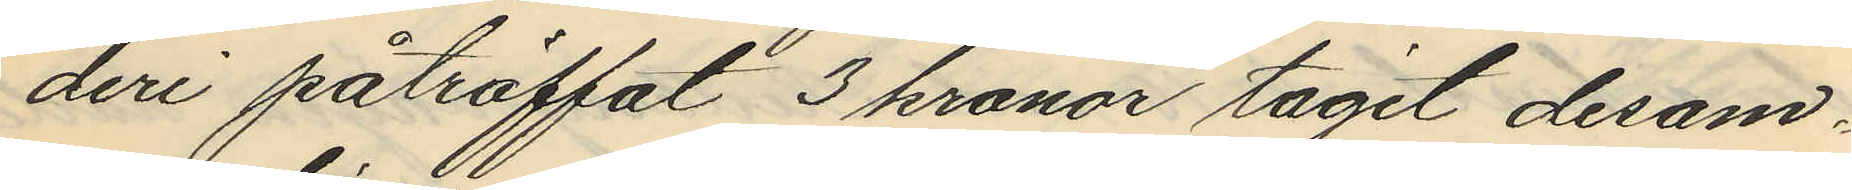deri påträffat 3 kronor tagit desam¬
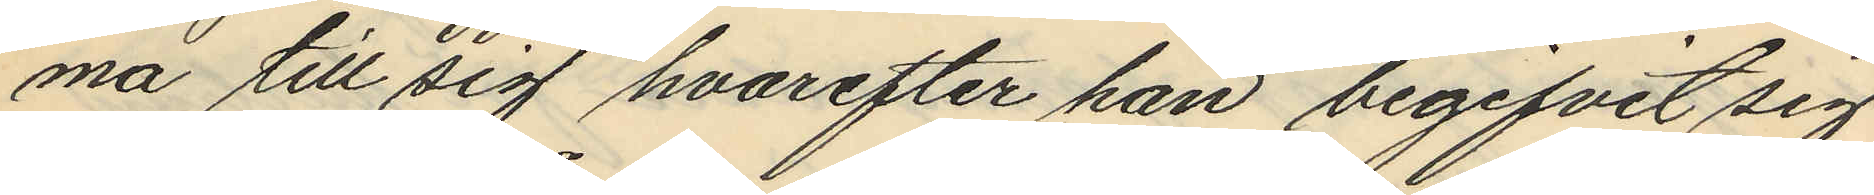ma till sig hvarefter han begifvit sig
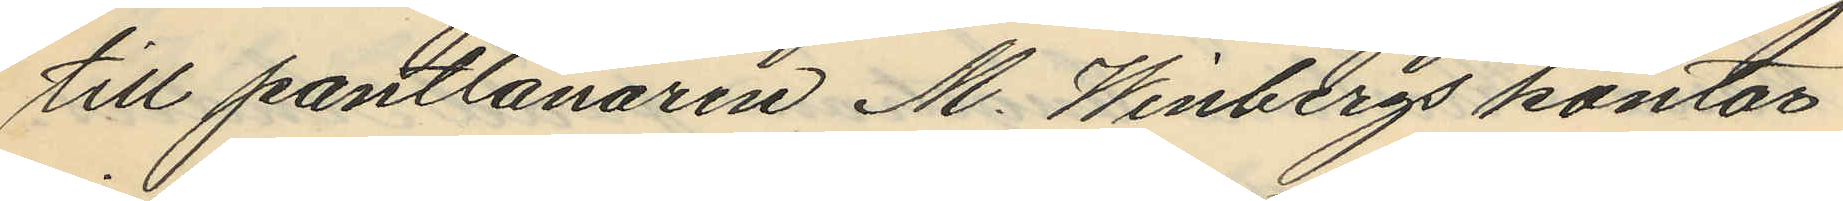till pantlånaren M. Winbergs kontor
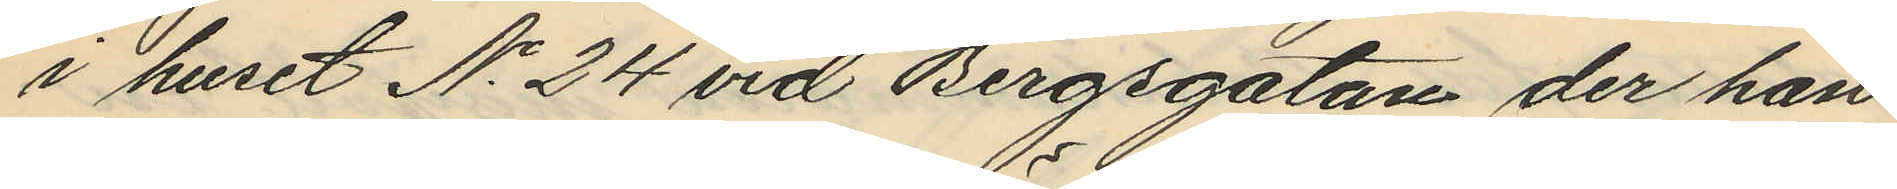i huset No 24 vid Bergsgatan der han
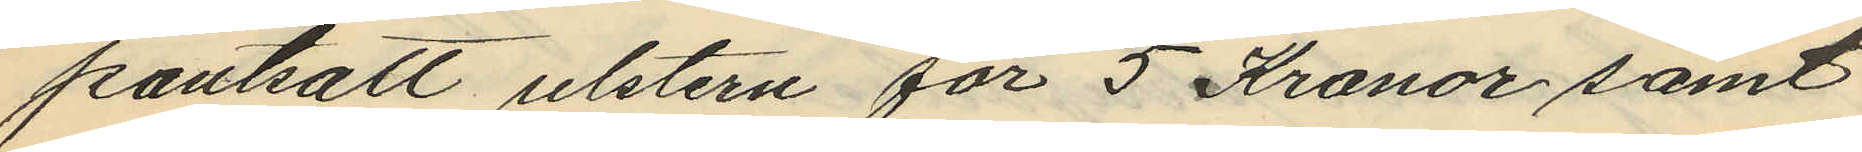pantsatt ulstern för 5 Kronor samt
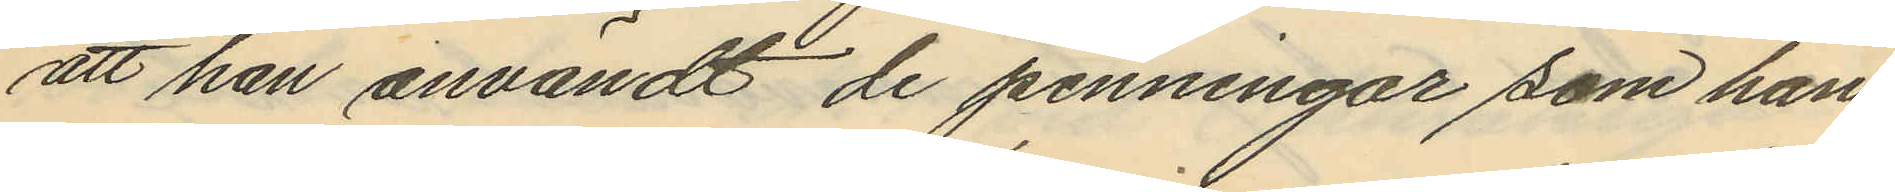att han användt de penningar som han
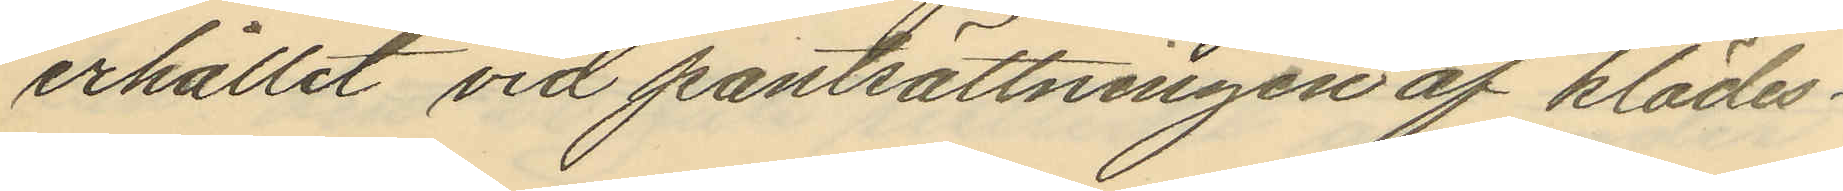erhållit vid pantsättningen af klädes¬
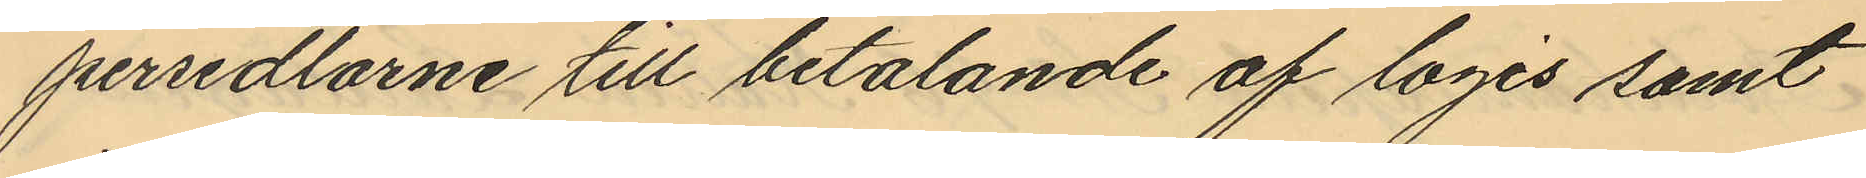persedlarne till betalande af logis samt
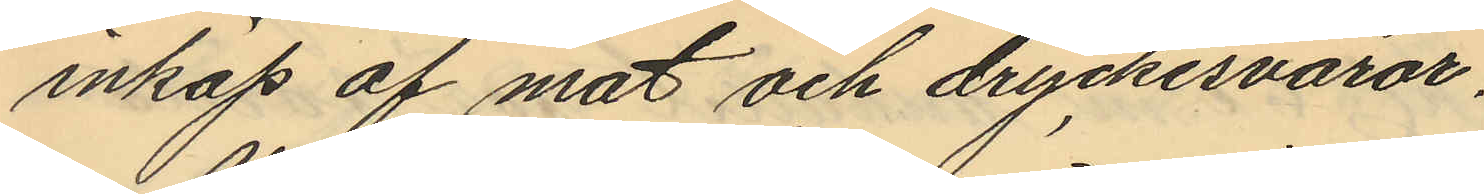inköp af mat och dryckesvaror.
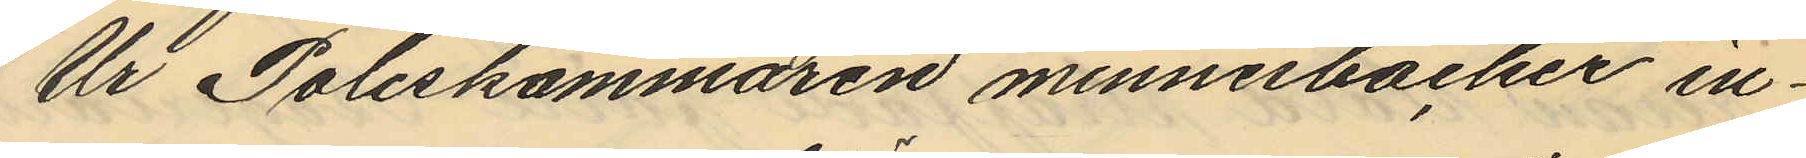Ur Poliskammaren minnesböcker in¬
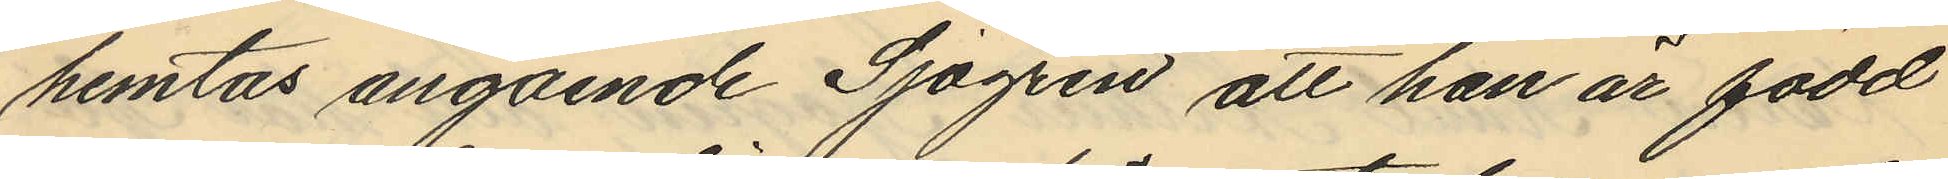hemtas angående Sjögren att han är född
